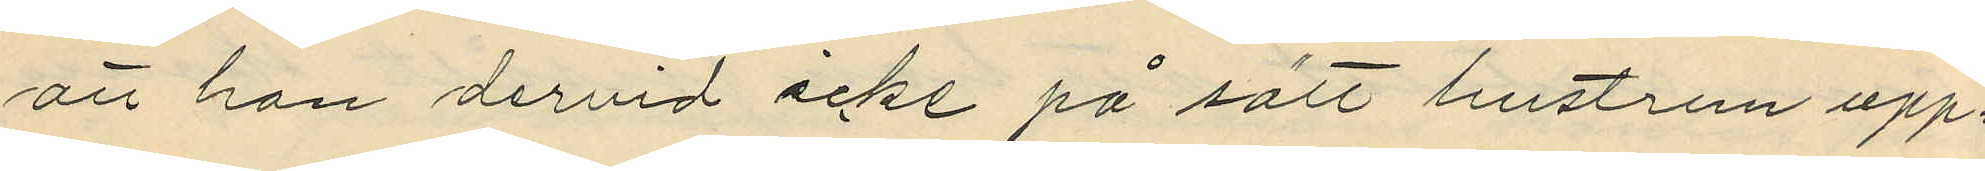att han dervid icke på sätt hustrun upp¬
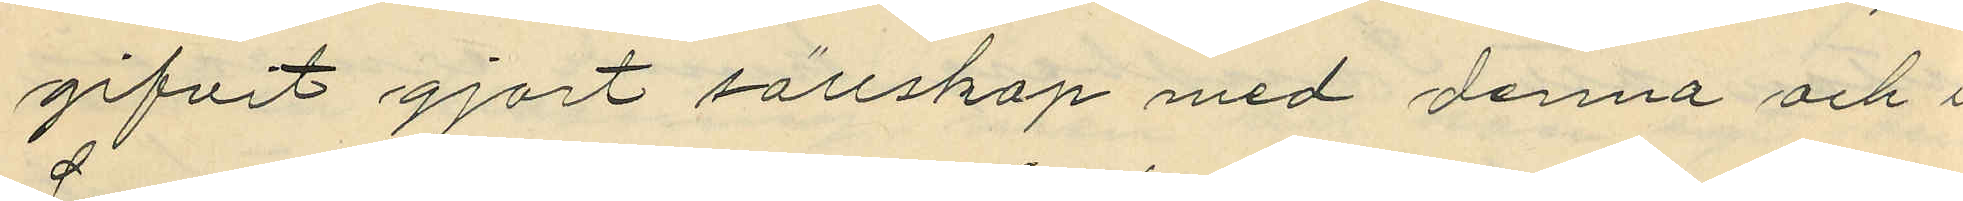gifvit gjort sällskap med denna och i
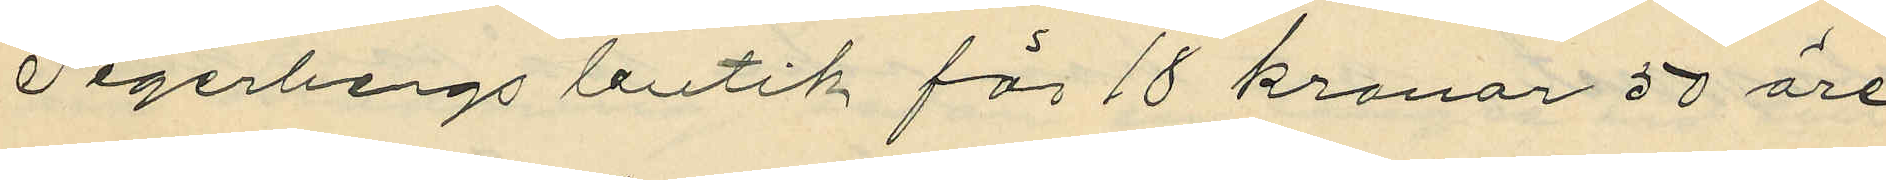Segerbergs butik för 18 kronor 50 öre
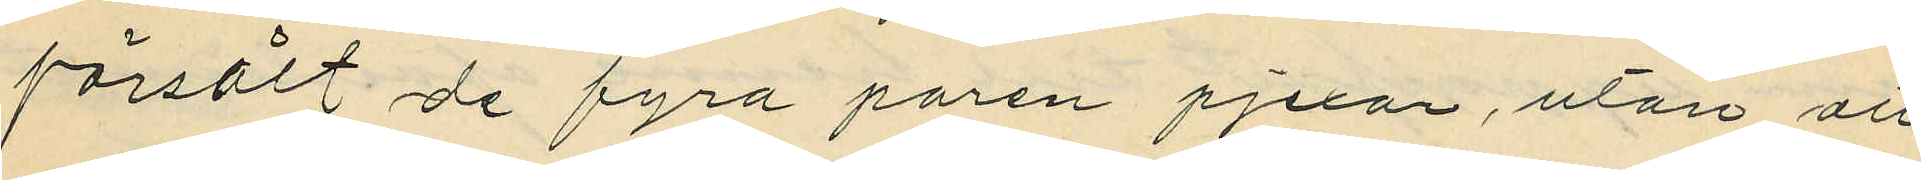försålt de fyra paren pjexor, utan att
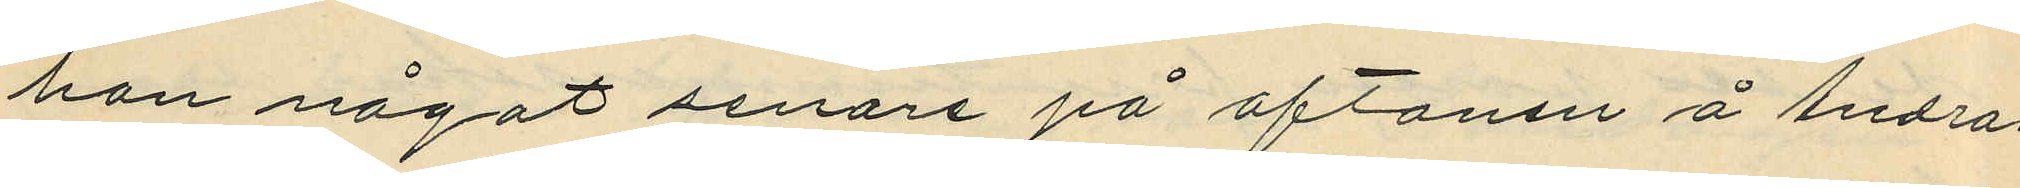han något senare på aftonen å Andra
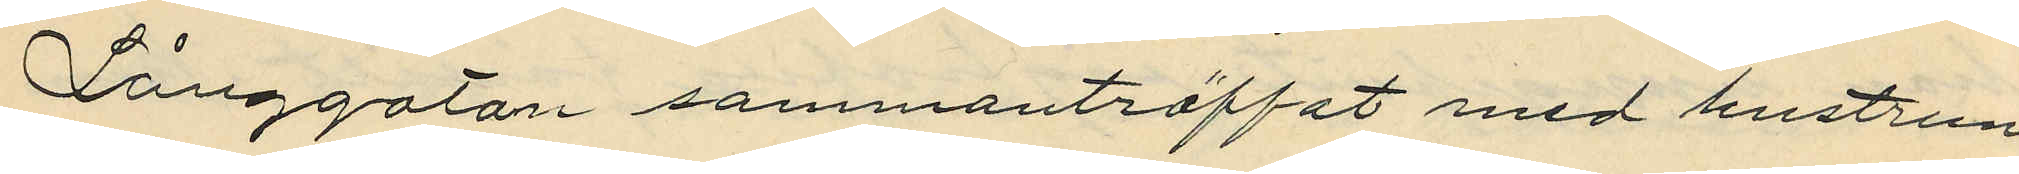Långgatan sammanträffat med hustrun
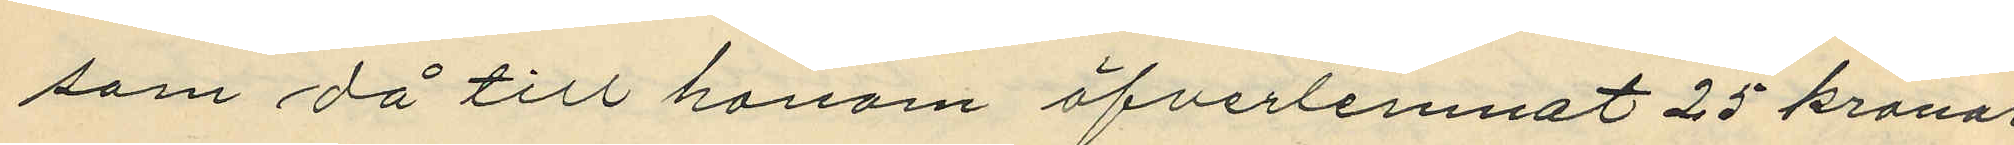som då till honom öfverlemnat 25 kronor
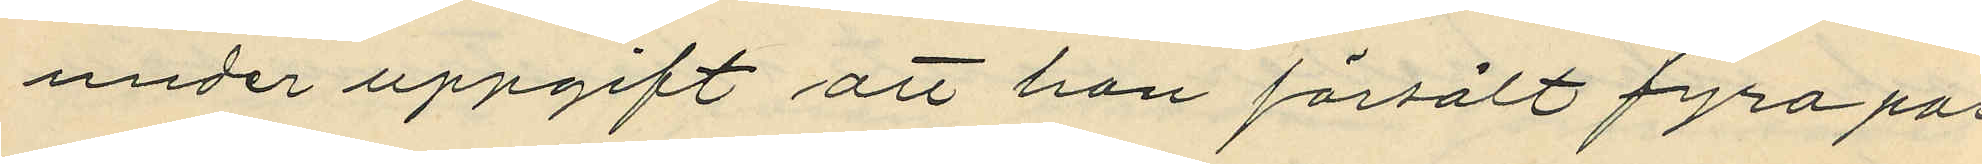under uppgift att hon försålt fyra par
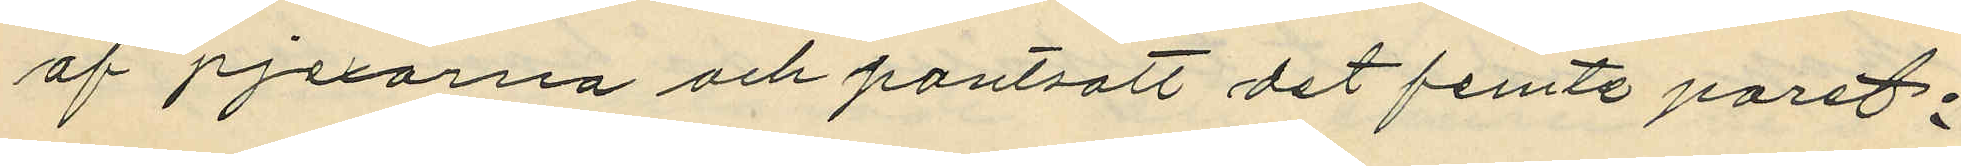af pjexorna och pantsatt det femte paret;
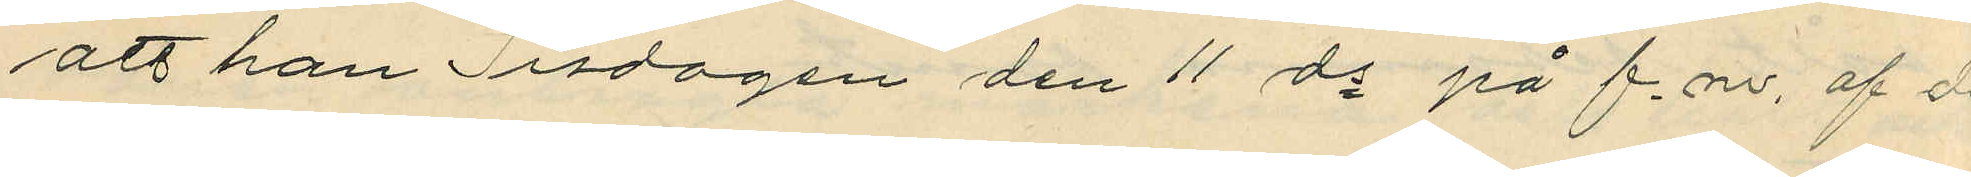att han Tisdagen den 11 ds på f.m. af de
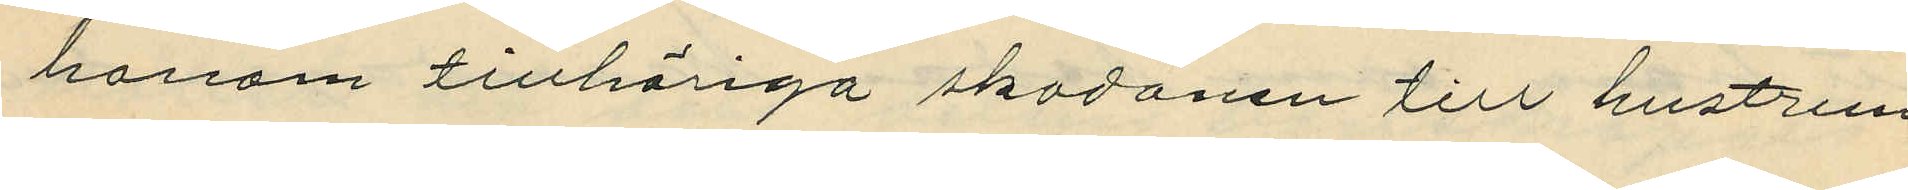honom tillhöriga skodonen till hustrun
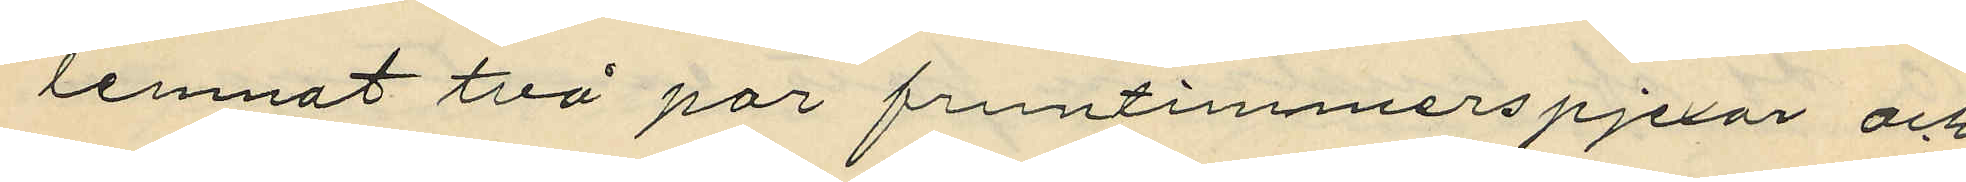lemnat två par fruntimmerspjexor och
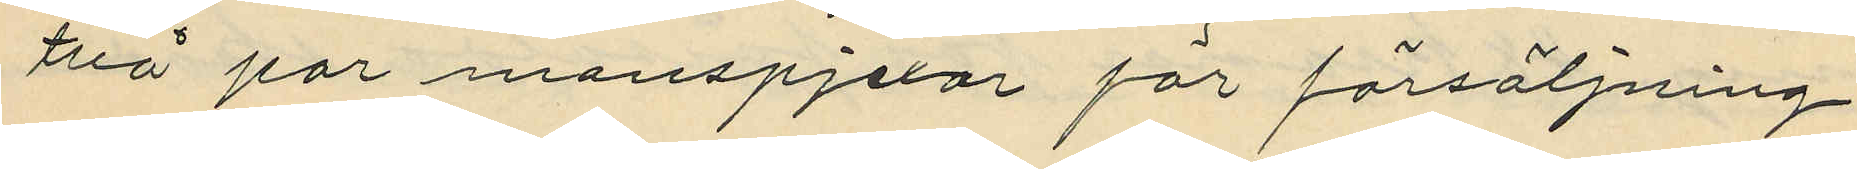två par manspjexor för försäljning,
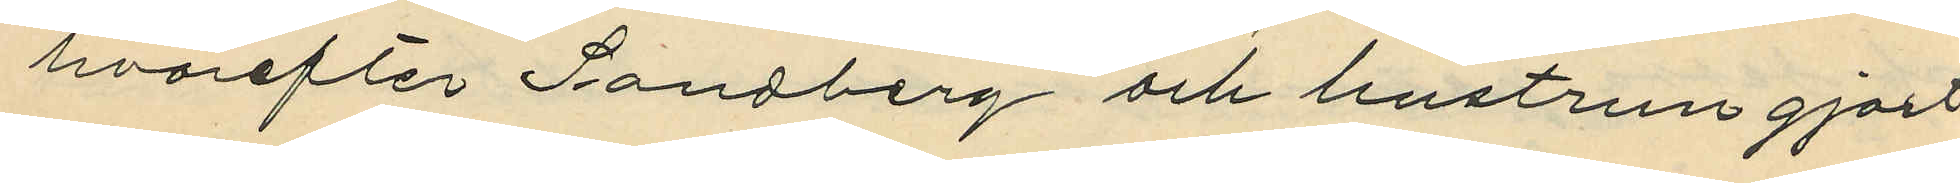hvarefter Sandberg och hustru gjort
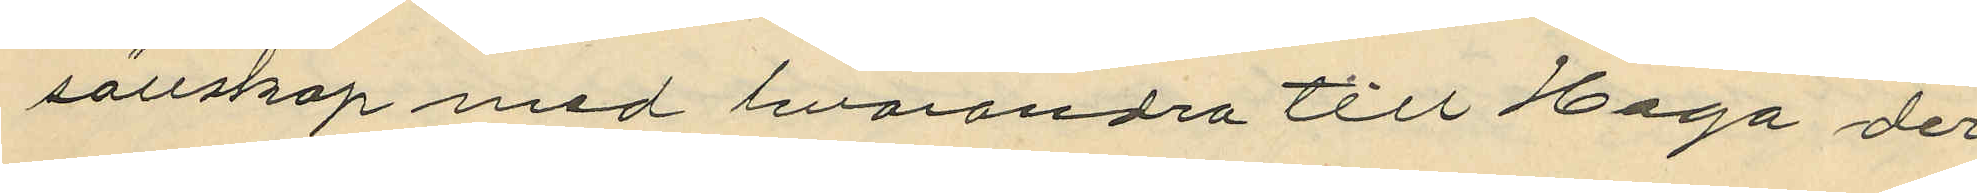sällskap med hvarandra till Haga der
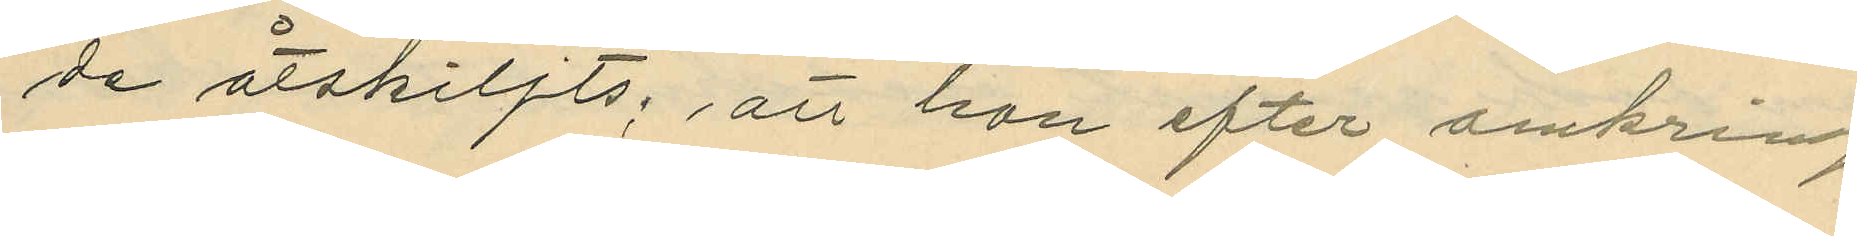de åtskiljts; att han efter omkring
